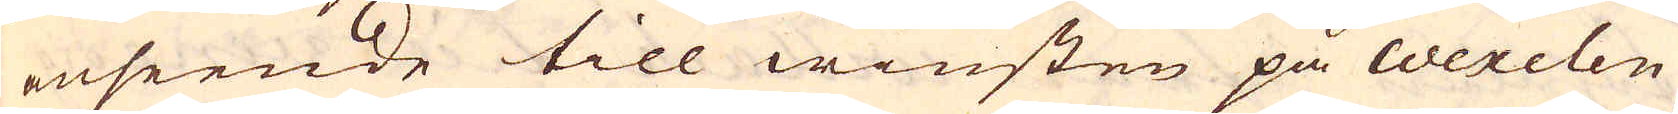anseende till winsten på Wexelen
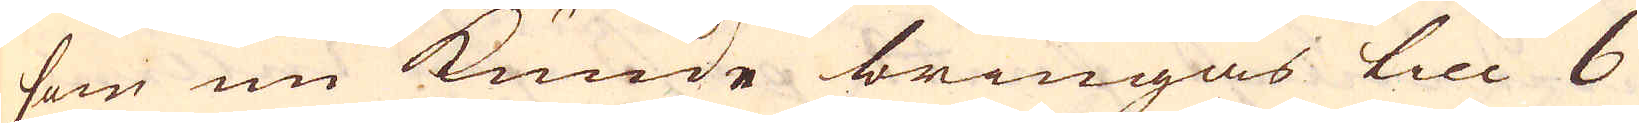som nu kunde bringas till 6
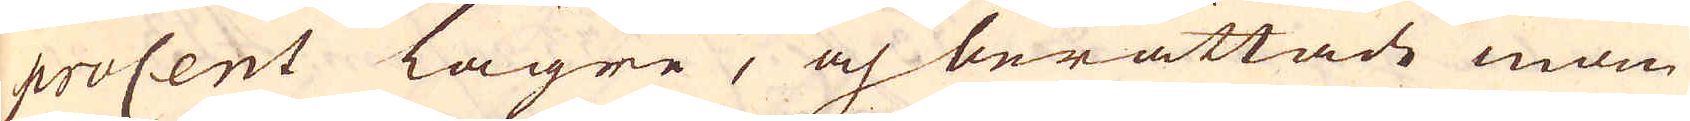procent lägre, och berättade man
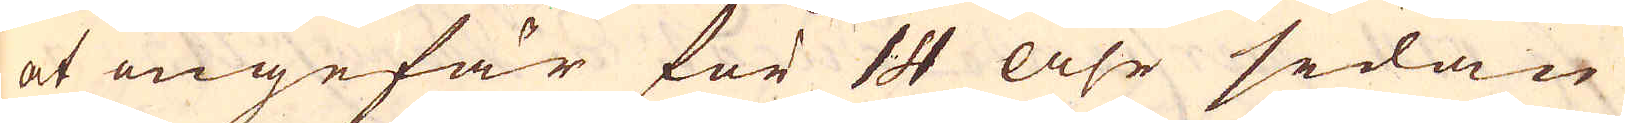at ungefär för 14 Åhr sedan
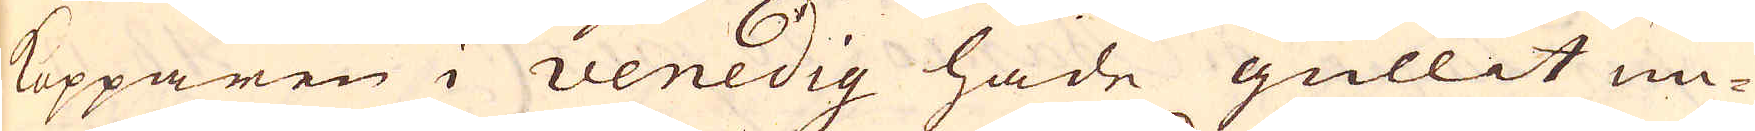Kopparen i venedig hade gullit un-
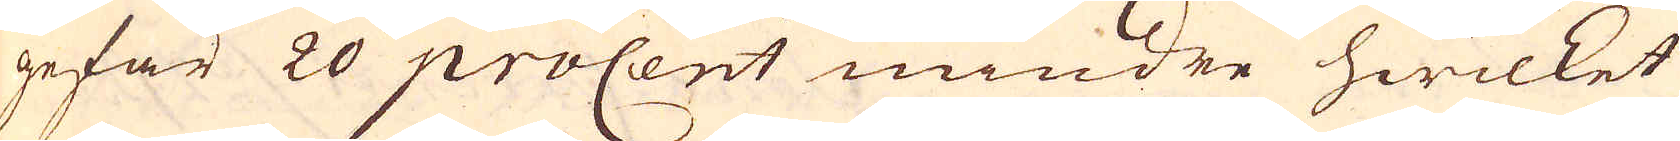gefär 20 proCent mindre hwilket
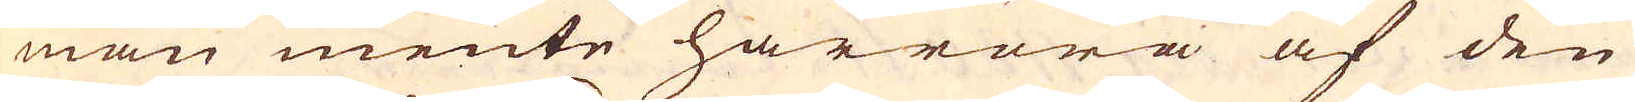man mente härröra af den
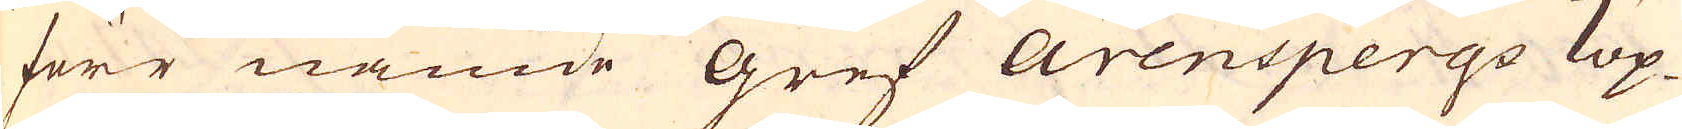förr nämde gref Arenspergo kop-
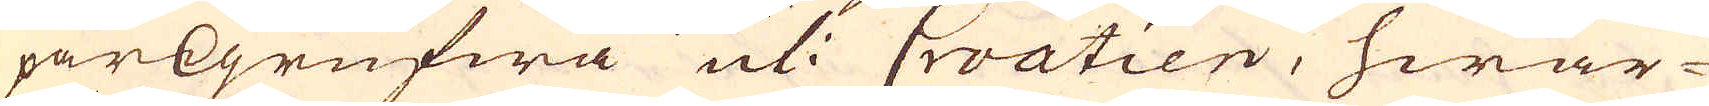parGgrufwa uti Croatien, hwar-
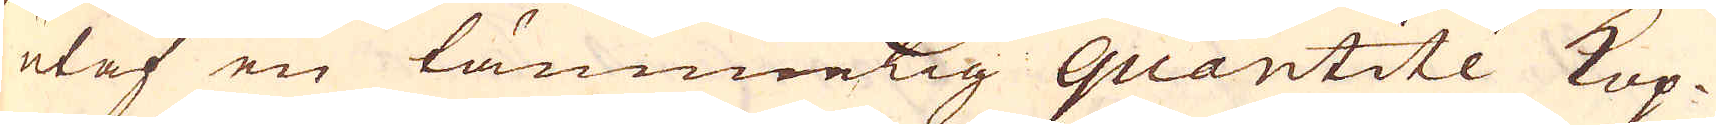utaf en tämmelig quantité Kop-
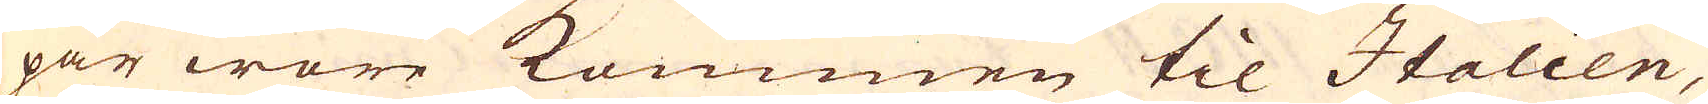par wore kommen til Italien,
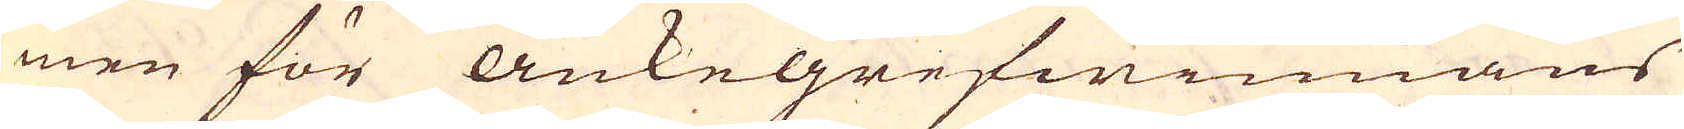men för änkegrefwinnans
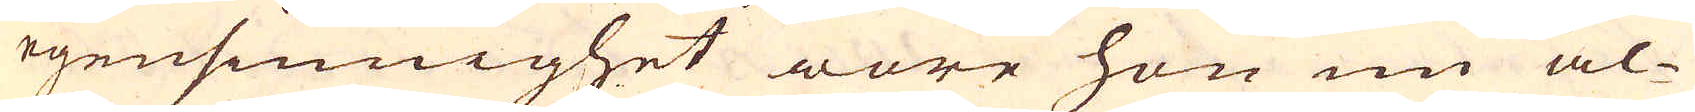egensinnighet wore hon nu al-
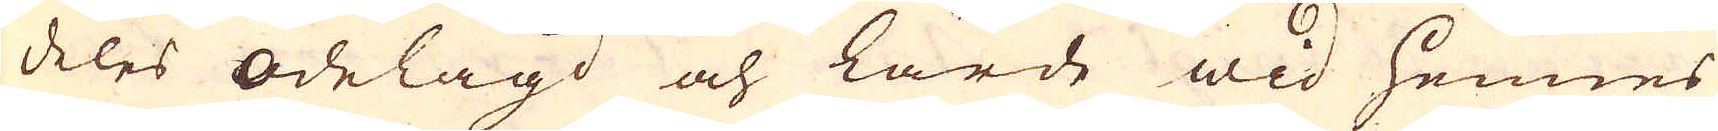deles ödelagd och lärde wid hennes
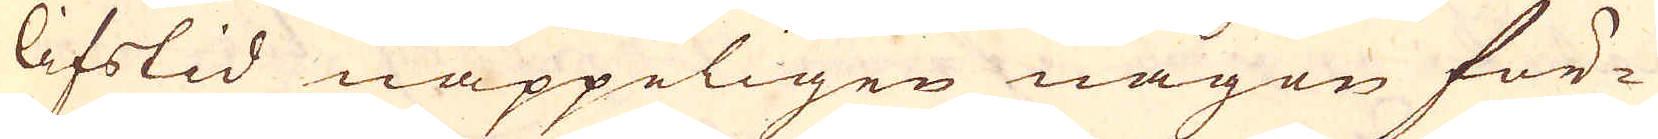lifstid näppeligen någon för-
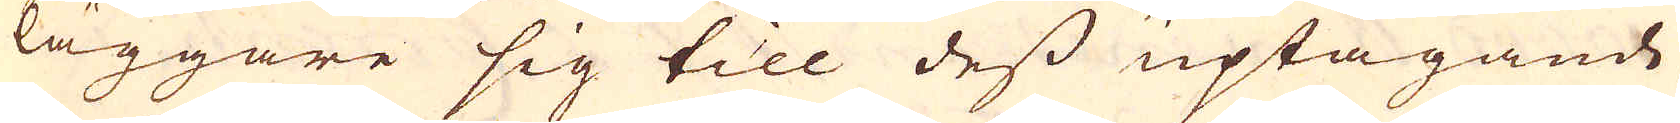läggare sig till dess uptagande
